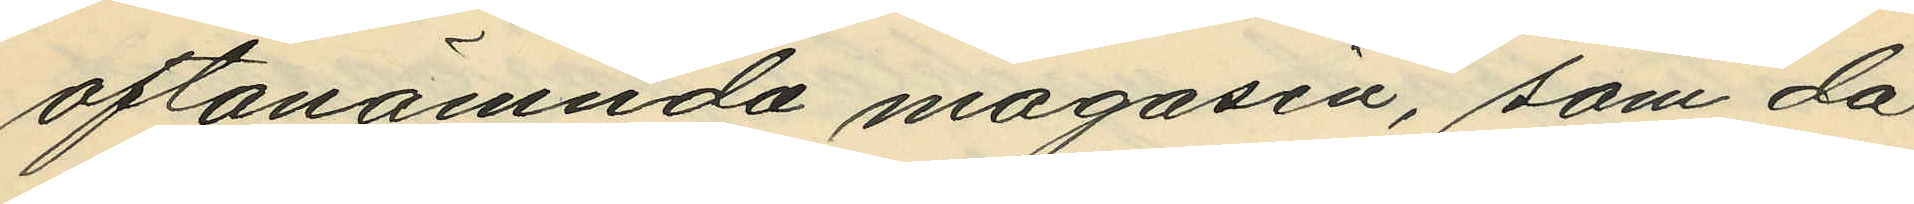oftanämnda magasin, som då
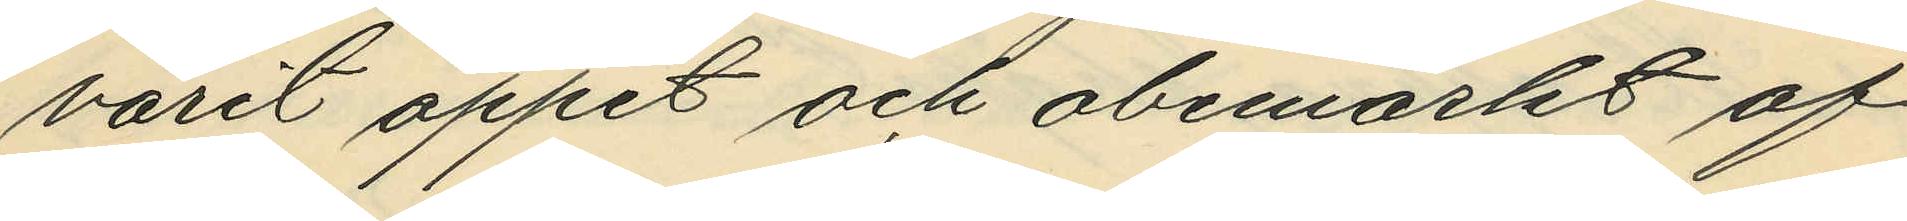varit öppet och obemärkt af
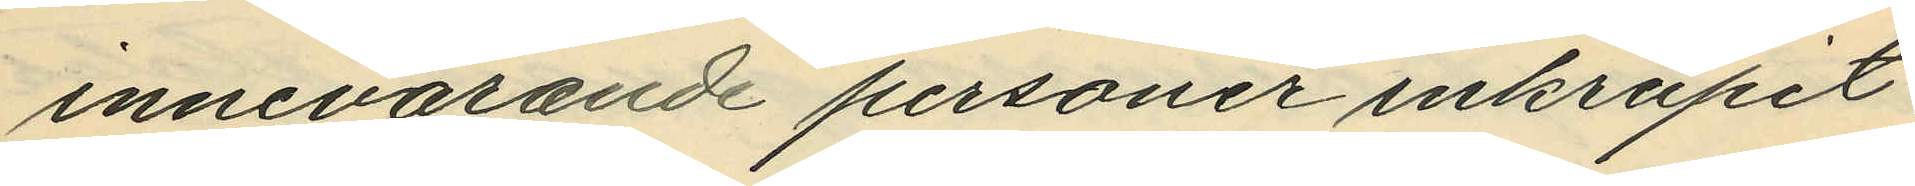innevarande personer inkrupit
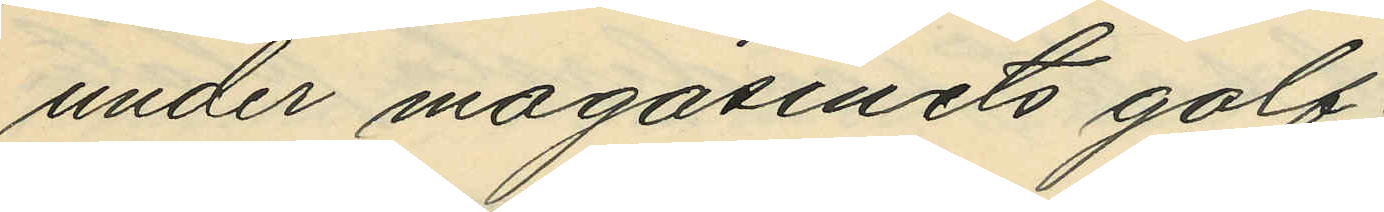under magasinets golf;
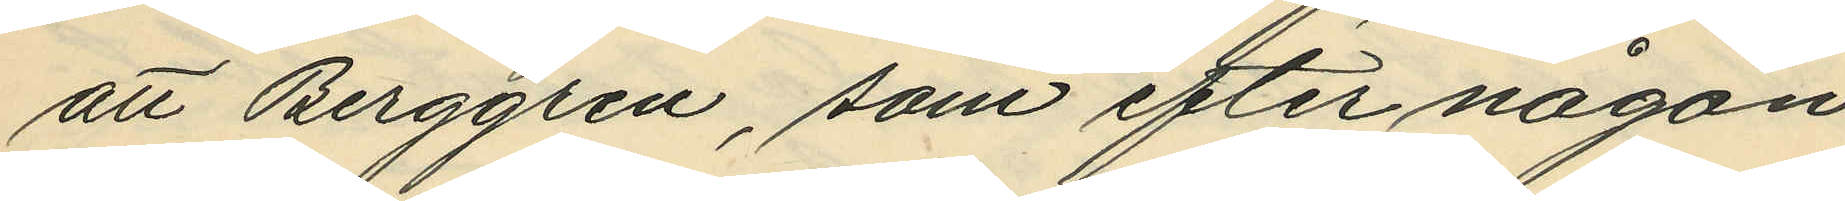att Berggren, som efter någon
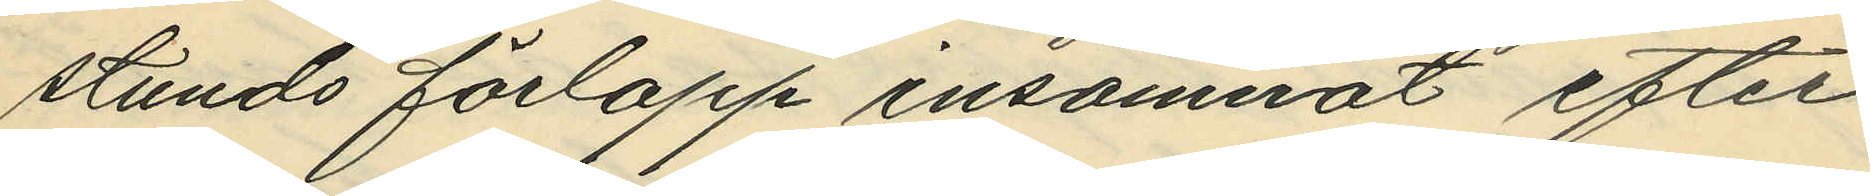stunds förlopp insomnat efter
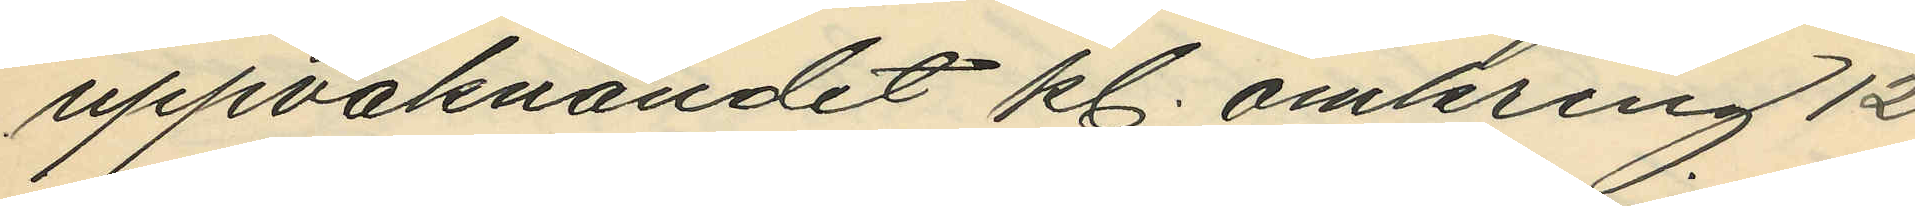uppvaknandet kl. omkring 12
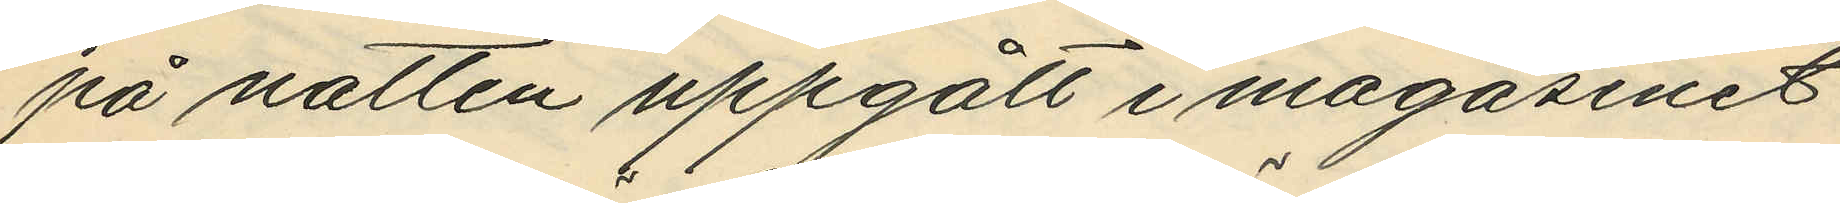på natten uppgått i magasinet
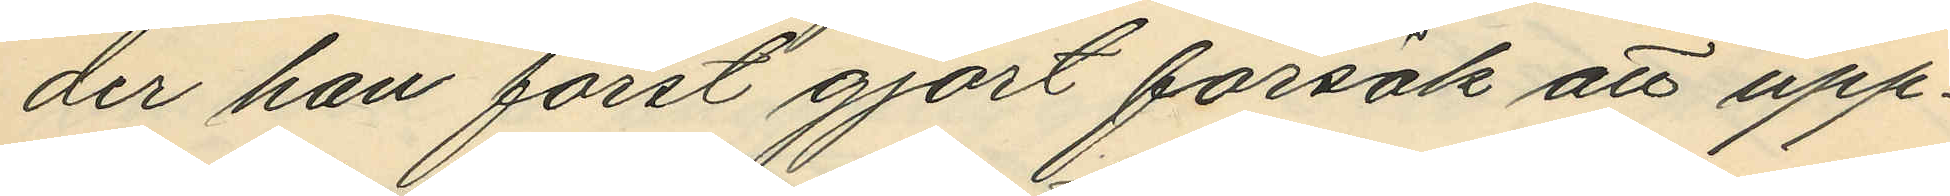der han först gjort försök att upp¬
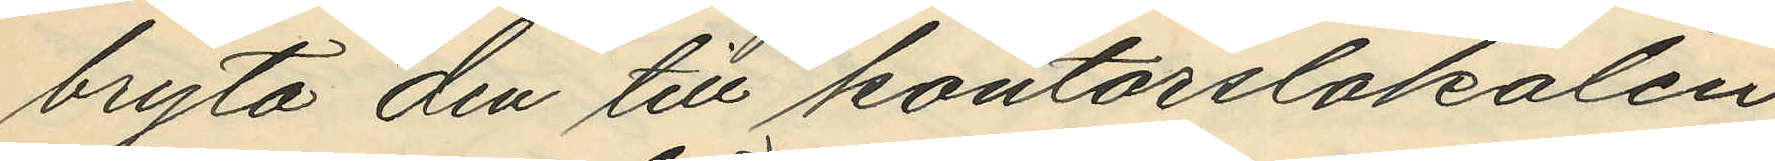bryta den till kontorslokalen
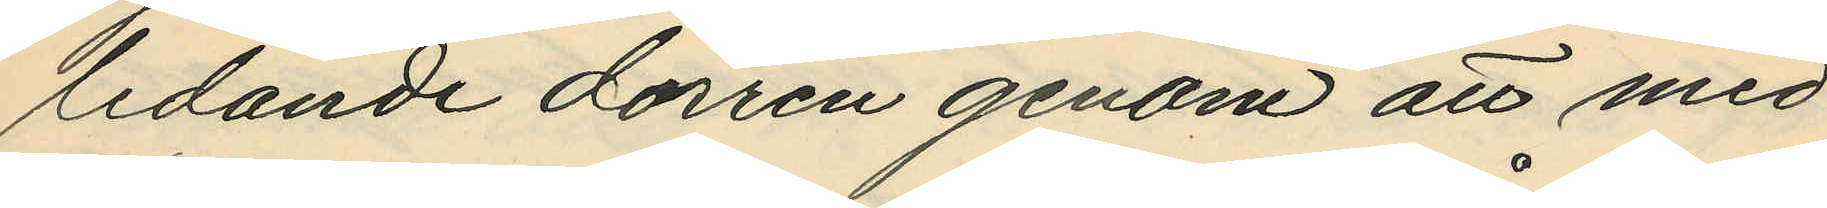ledande dörren genom att med
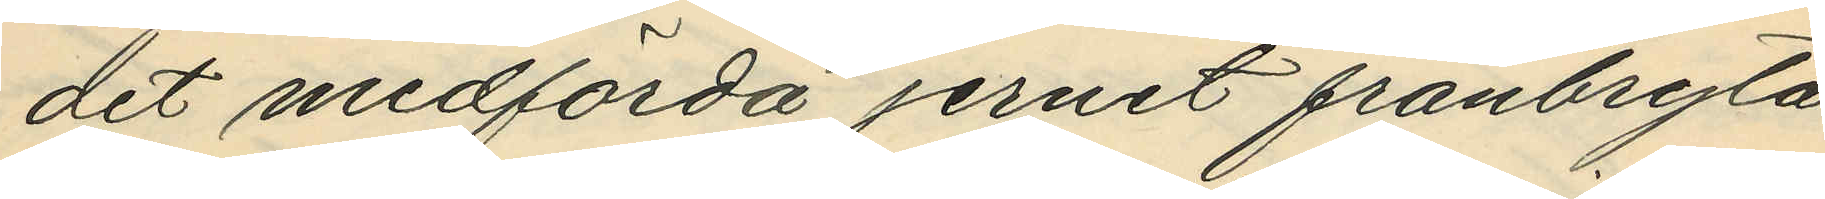det medförda jernet frånbryta
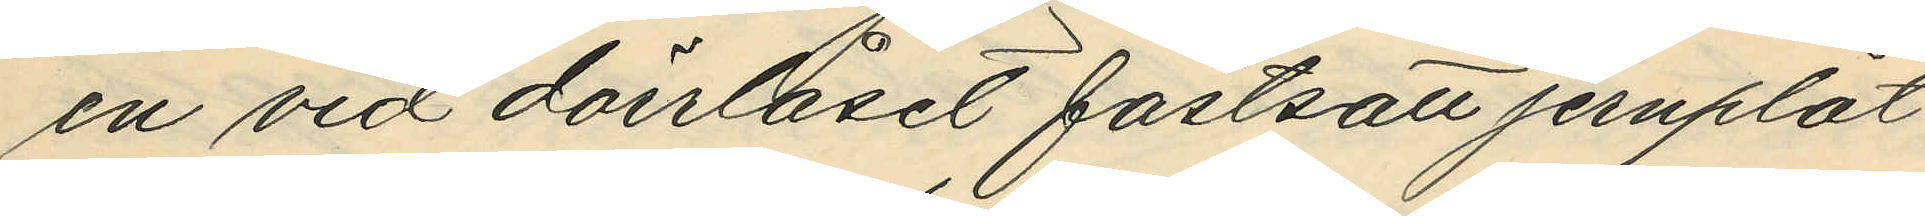en vid dörrlåset fastsatt jernplåt
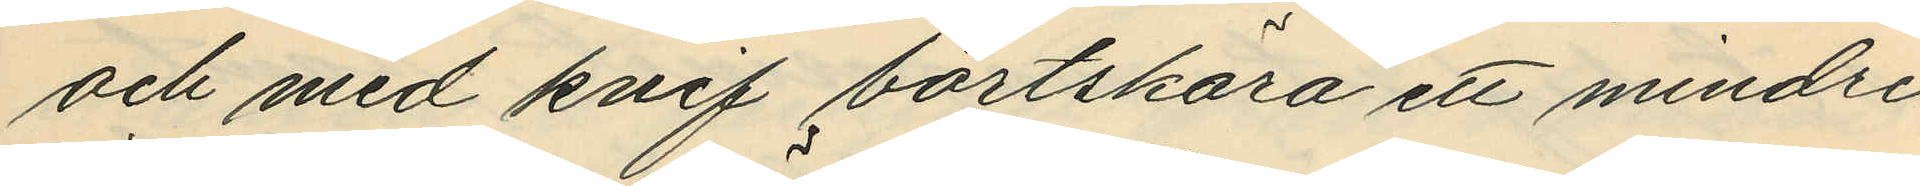och med knif bortskära ett mindre
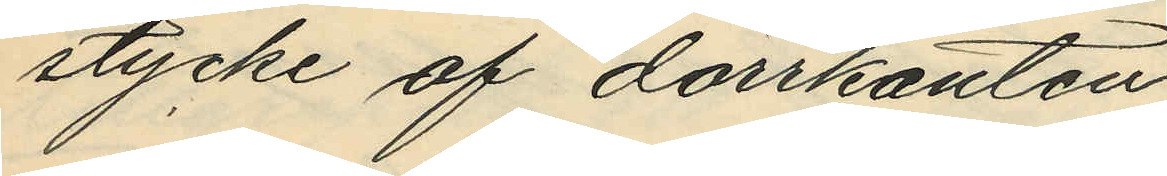stycke af dörrkanten;
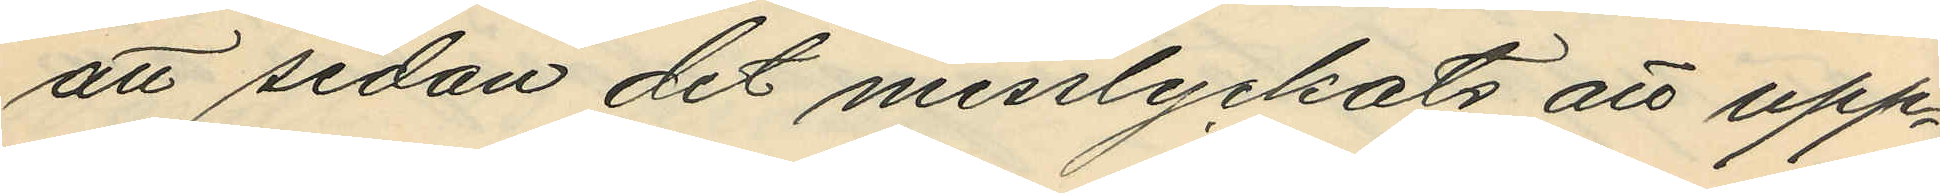att sedan det misslyckats att upp¬
